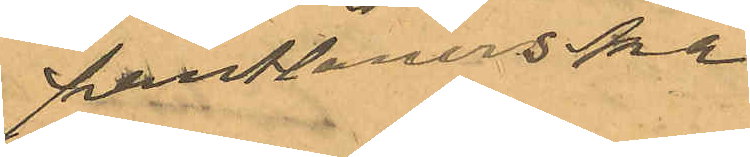pantlånerskan
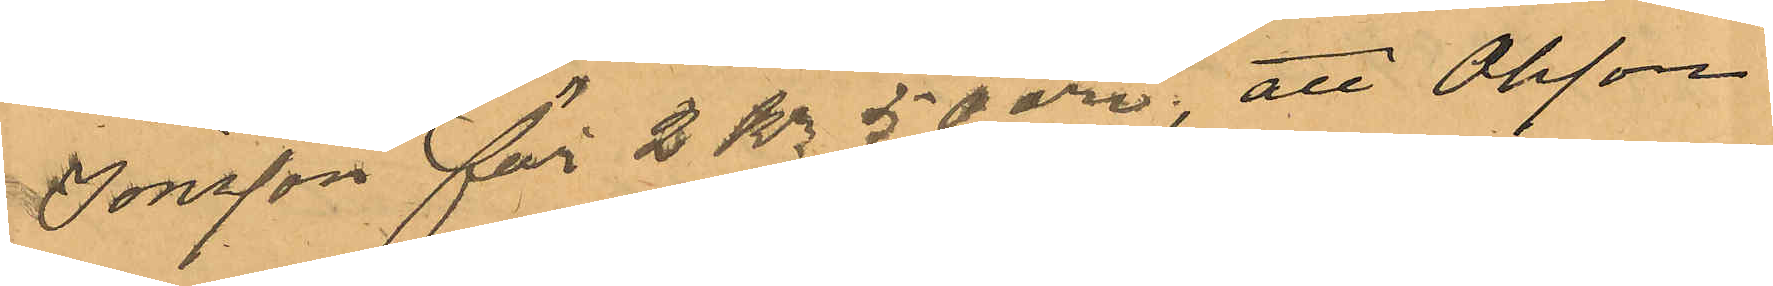Jonsson för 2 Kr 50 öre; att Olsson
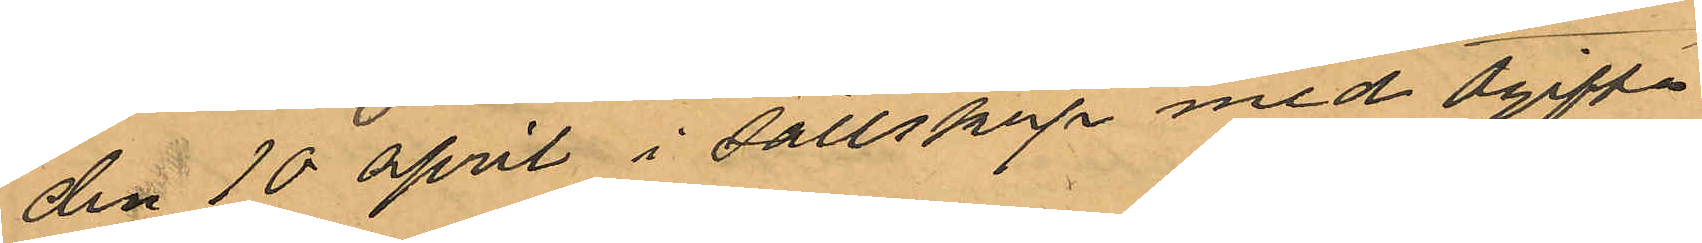den 10 april i sällskap med ogifta
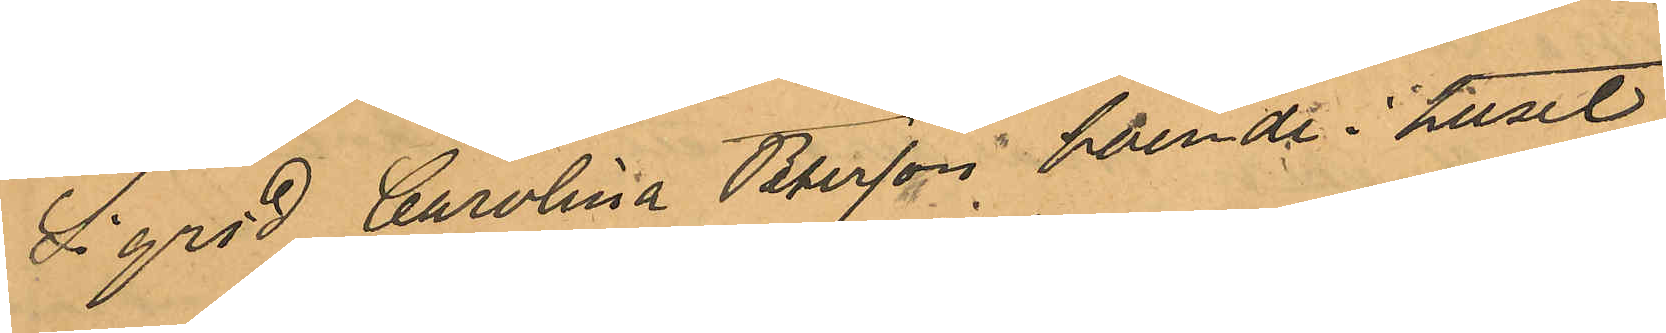Sigrid Carolina Petersson boende i huset
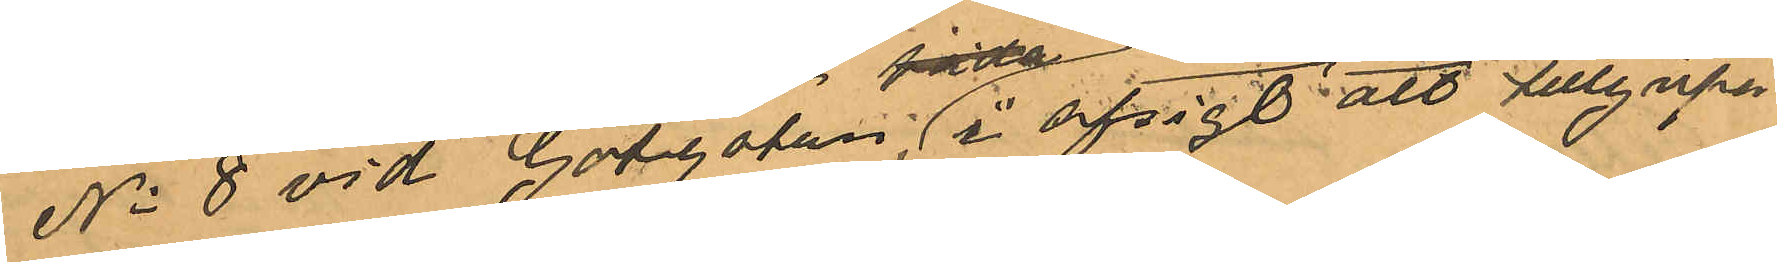No 8 vid Götgatan, i afsigt att tillgripa
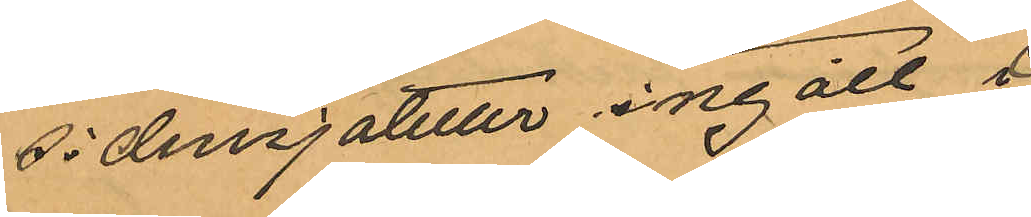sidensjaletter ingått i
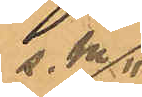s. k.
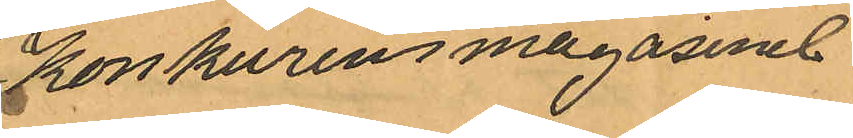"Konkurensmagasinet"
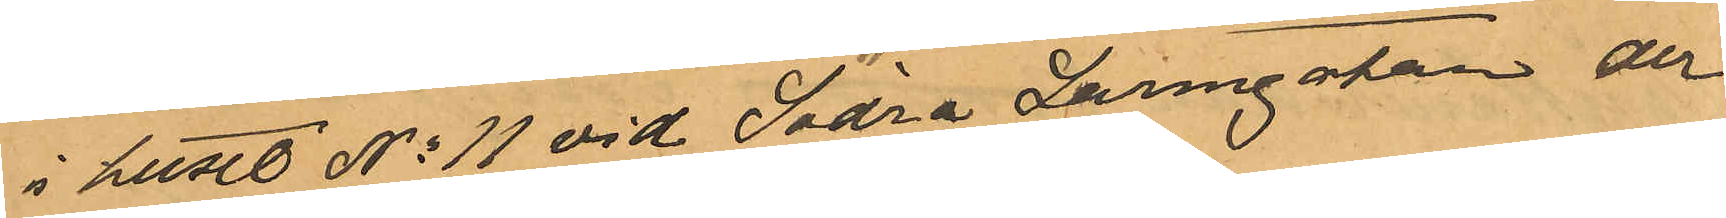i huset No 11 vid Södra Larmgatan der
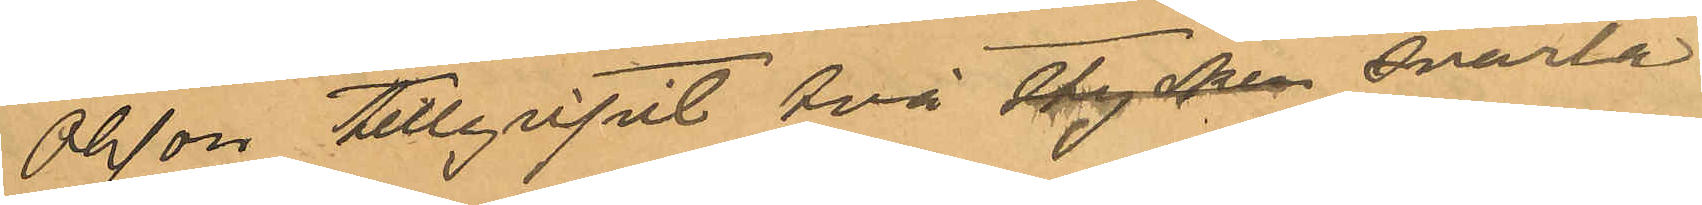Olsson tillgripit två stycken svarta
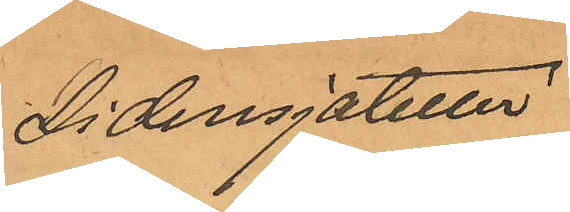Sidensjaletter
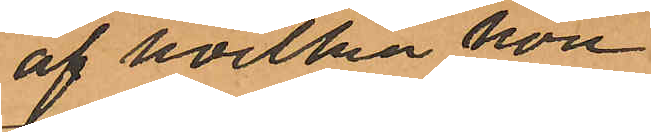af hvilka hon
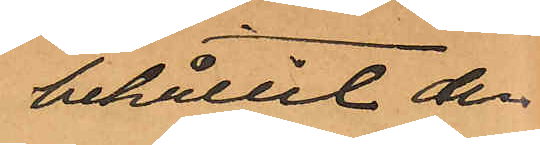behållit den
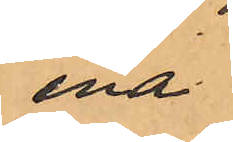ena
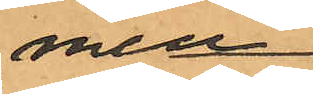men
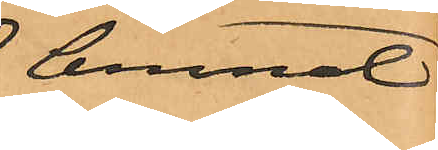lemnat
